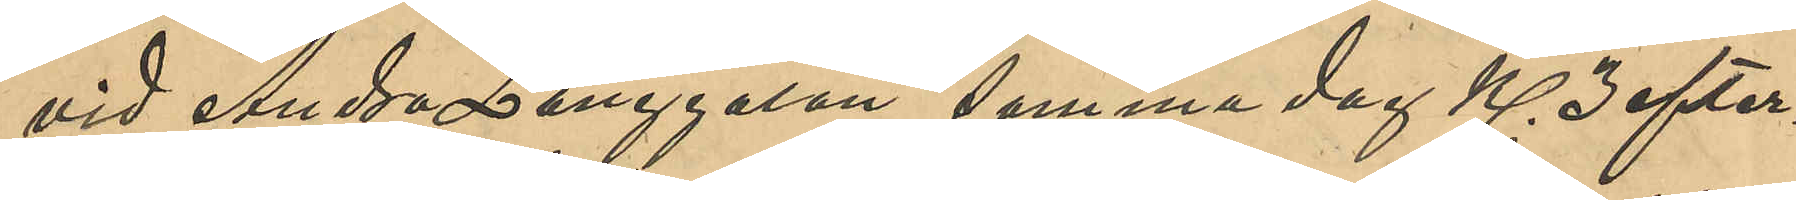vid Andra Långgatan, samma dag Kl 3 efter¬
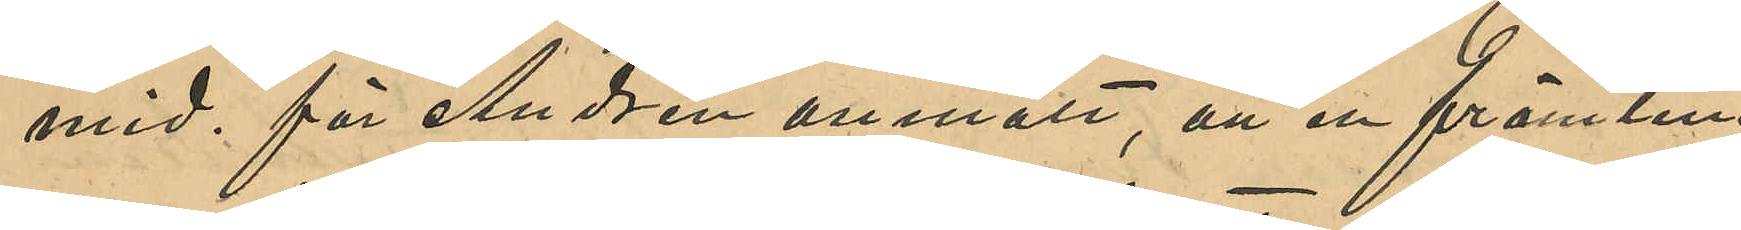mid. för Andrén anmält, att en främling
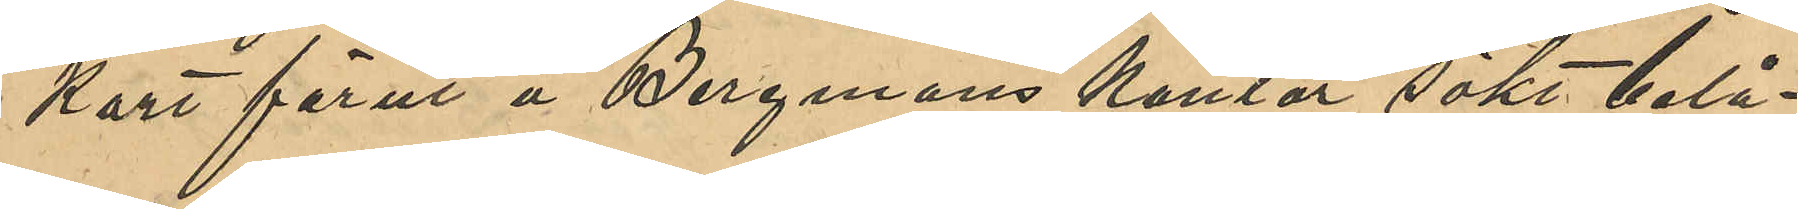kort förut å Bergmans kontor sökt belå¬
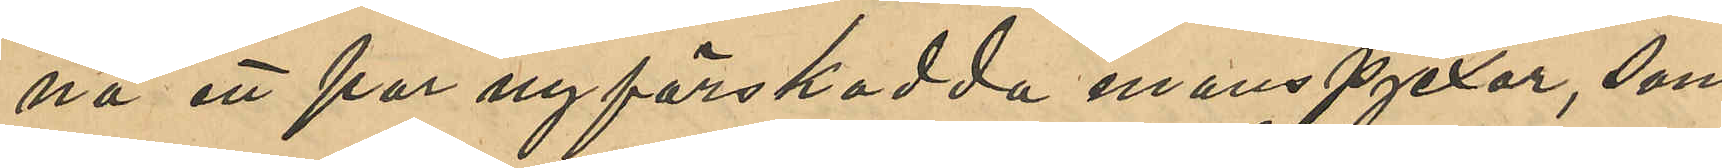na ett par nyförskodda manspjexor, som
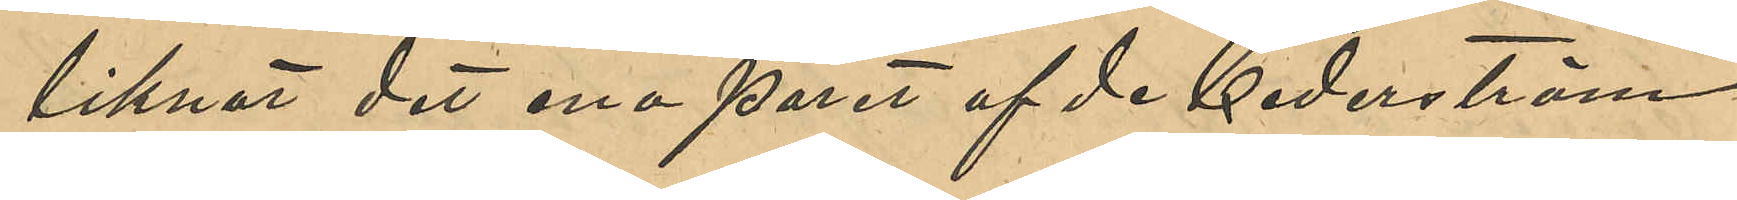liknat det ena paret af de Cederström
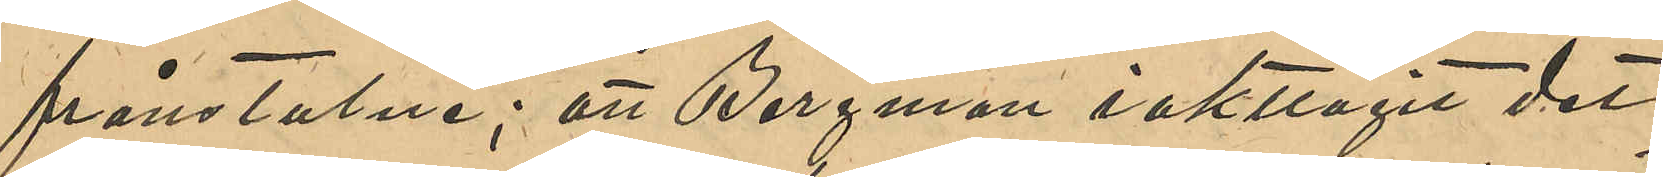frånstulne; att Bergman iakttagit det
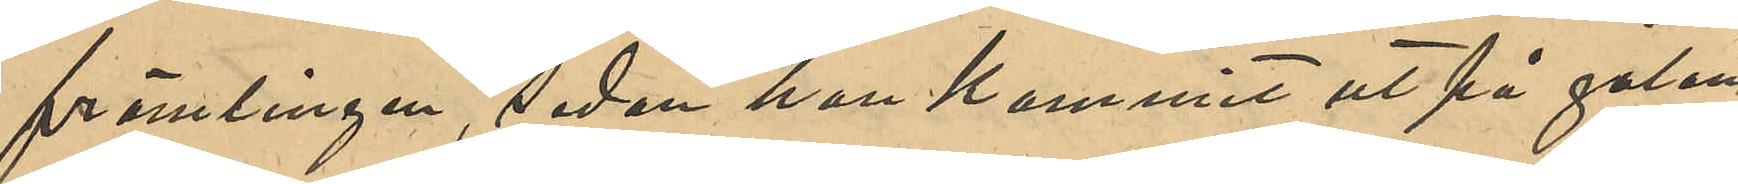främlingen, sedan han kommit ut på gatan,
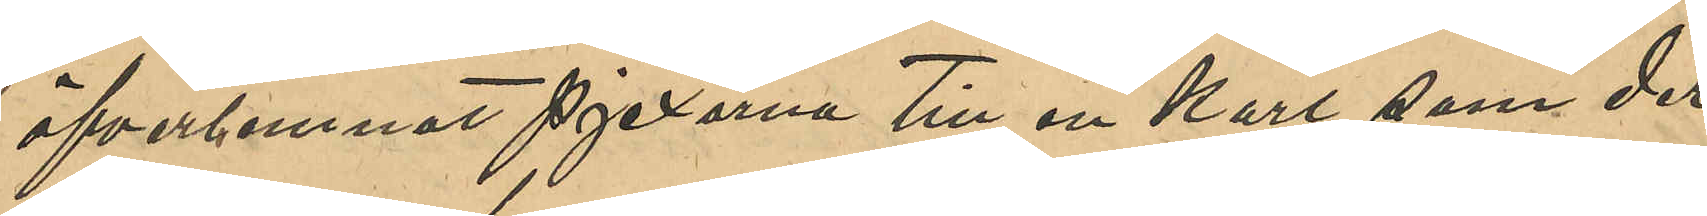öferlemnat pjexorna till en karl, som der
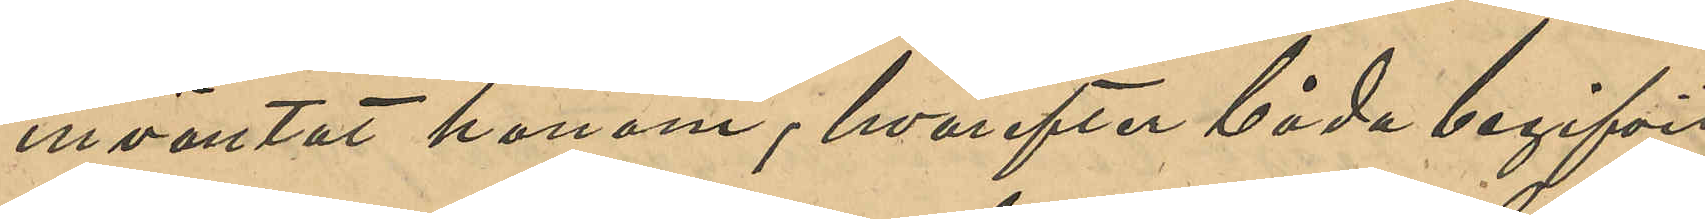inväntat honom, hvarefter båda begifvit
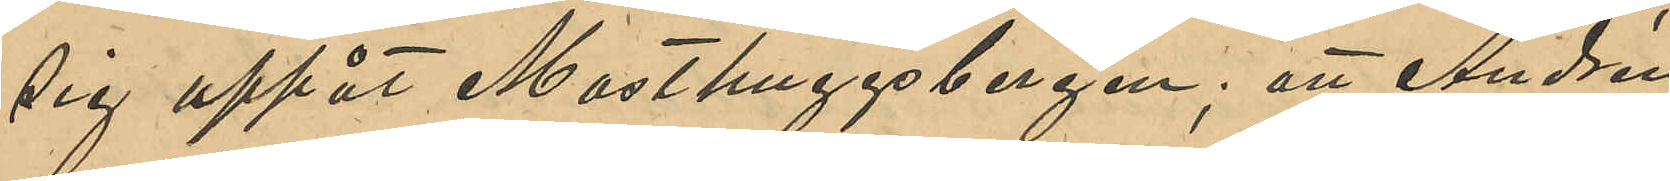sig uppåt Masthuggsbergen; att Andrén
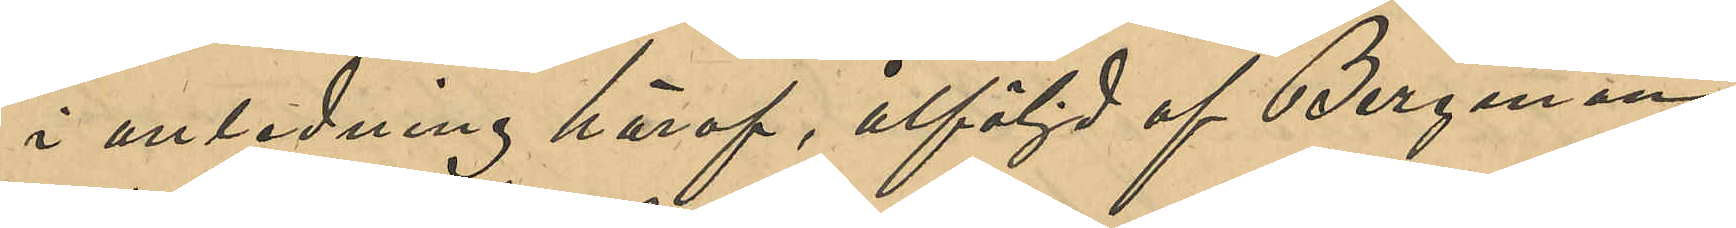i anledning häraf, åtföljd af Bergman
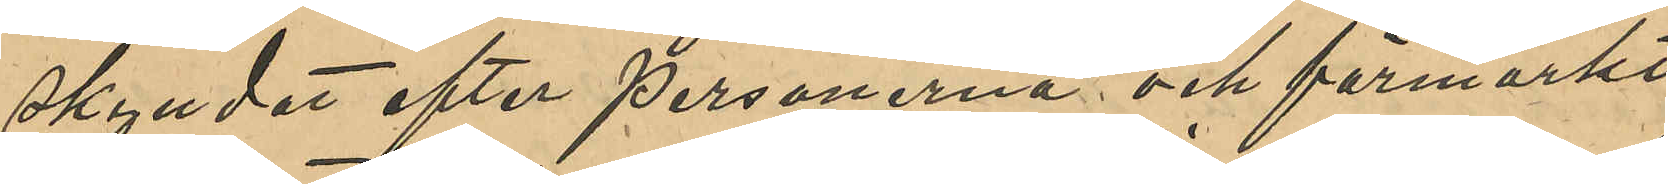skyndat efter personerna och förmärkt
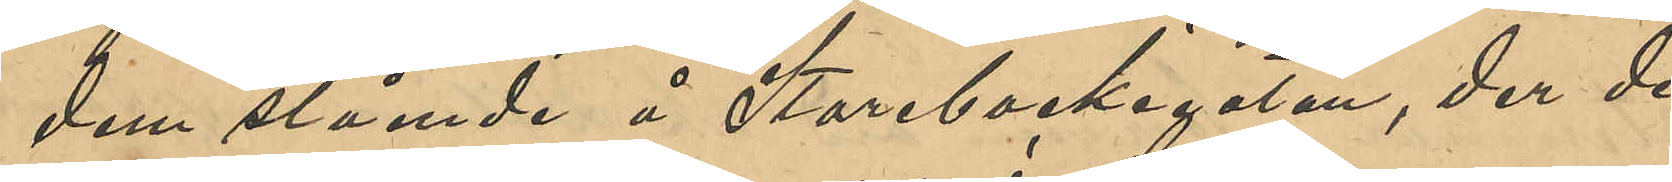dem stående å Storebackegatan, der de
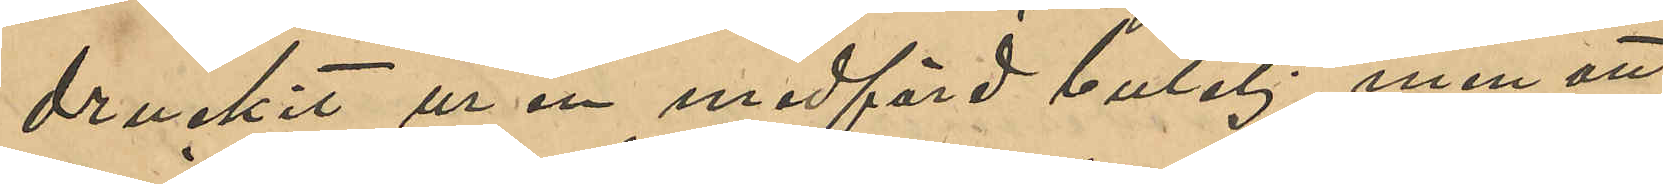druckit ur en medhavd butelj, men att
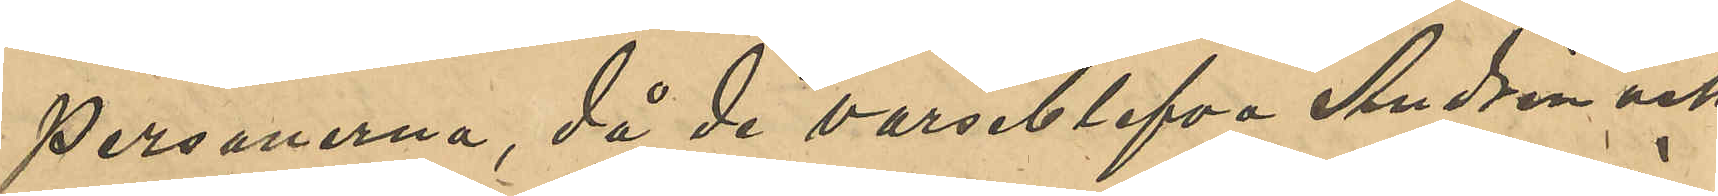personerna, då de varseblifvit Andrén och
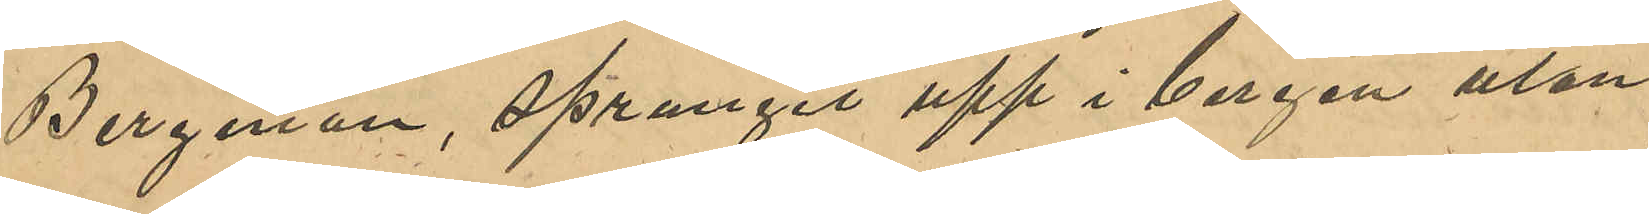Bergman, sprungit upp i bergen utan
